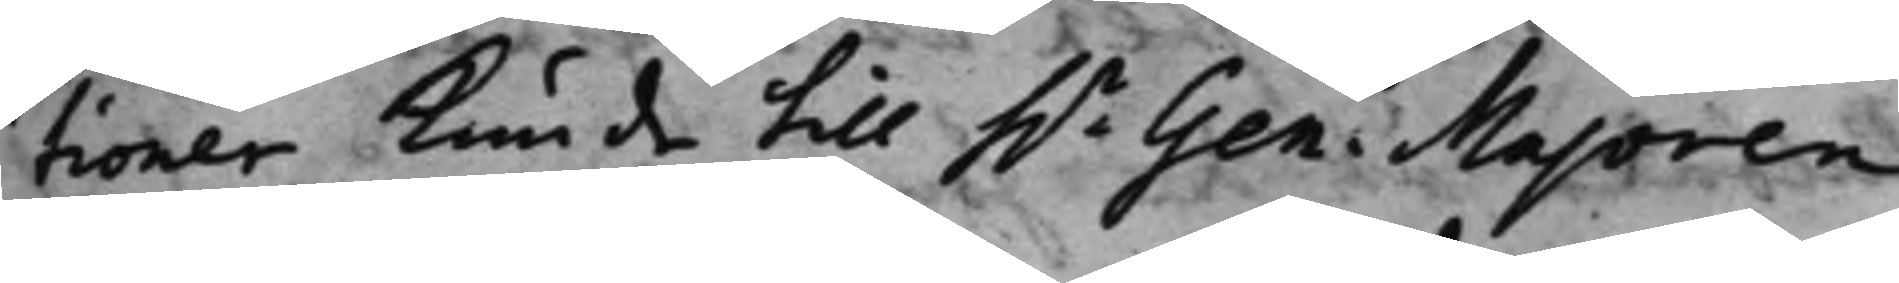tioner kunde till h.r Gen. Majoren
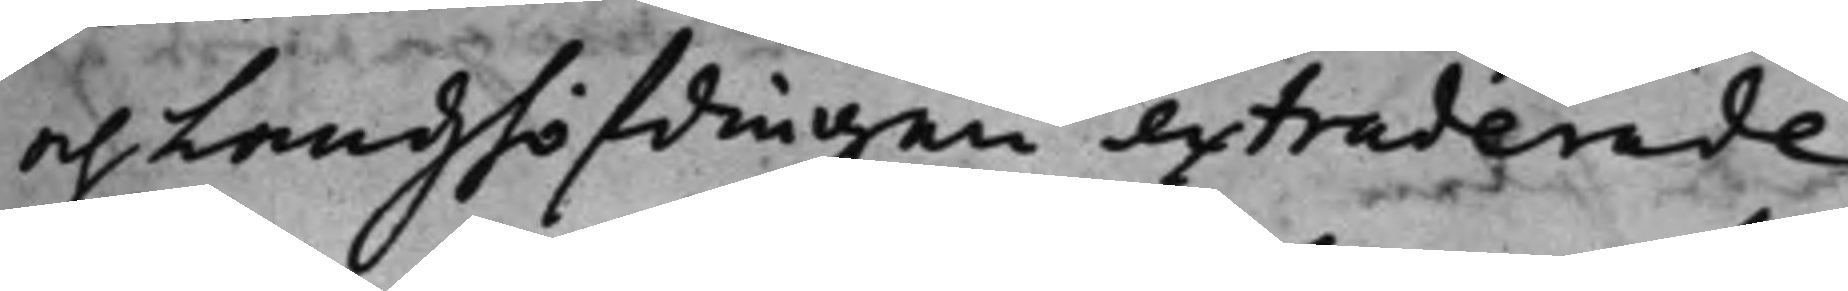och Landzhöfdingen extraderade
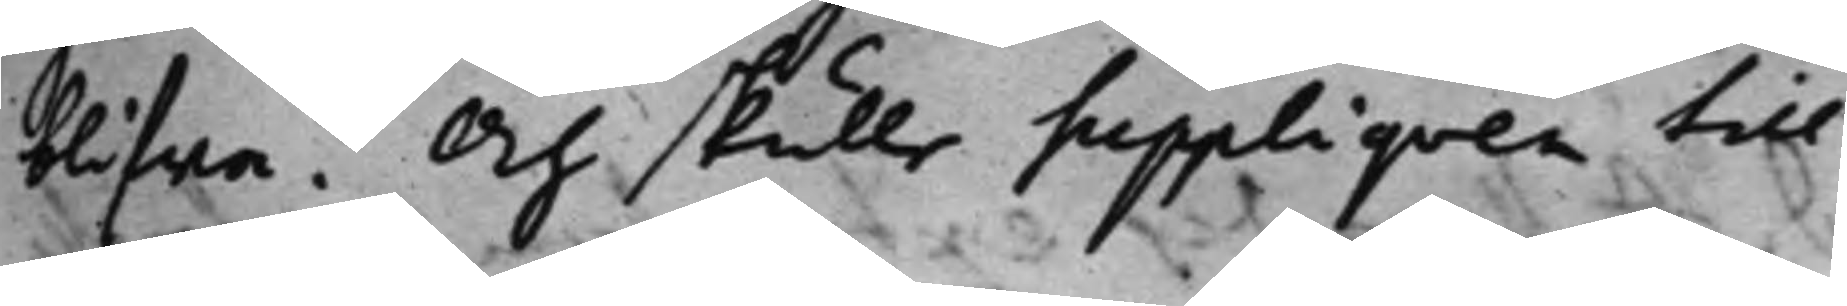blifva. Och skulle Suppliqven till
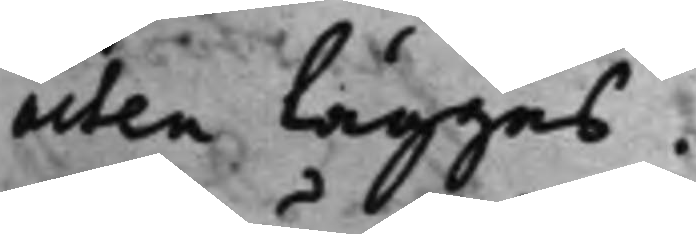acten läggas.
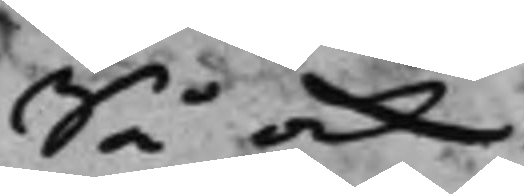Så ock
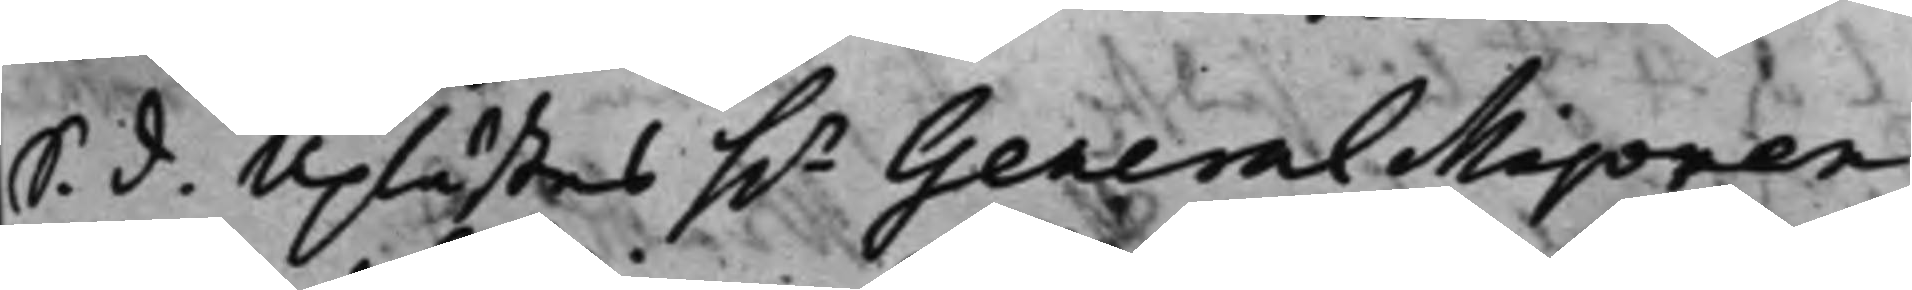S. d. Uplästes h.r General Majoren
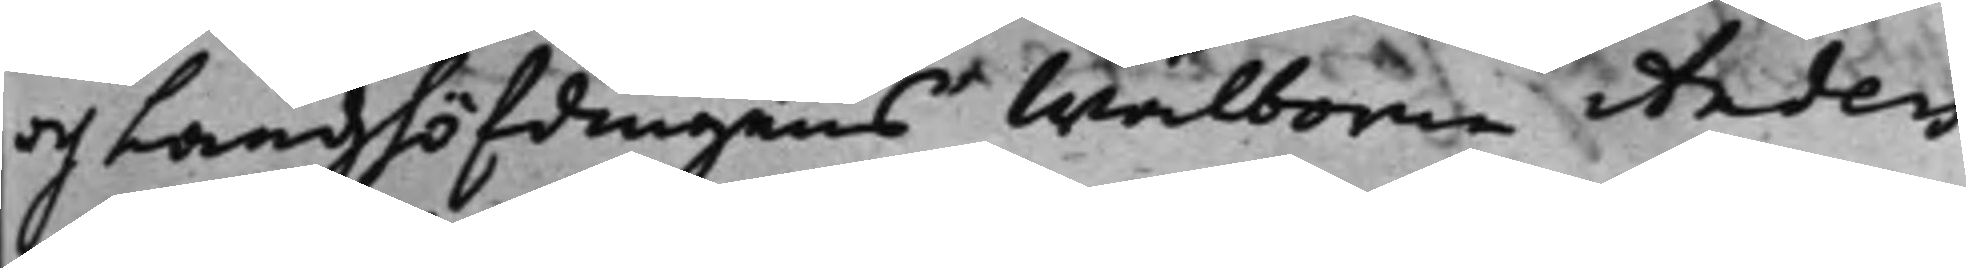och Landzhöfdingens Wälborne Anders
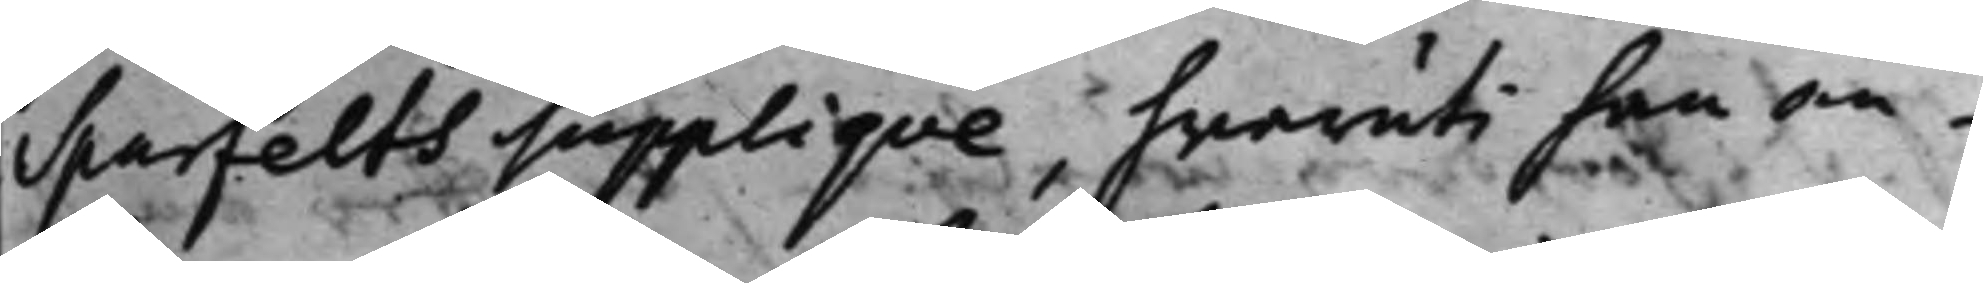Sparfelts Suppliqve, hwaruti han an¬
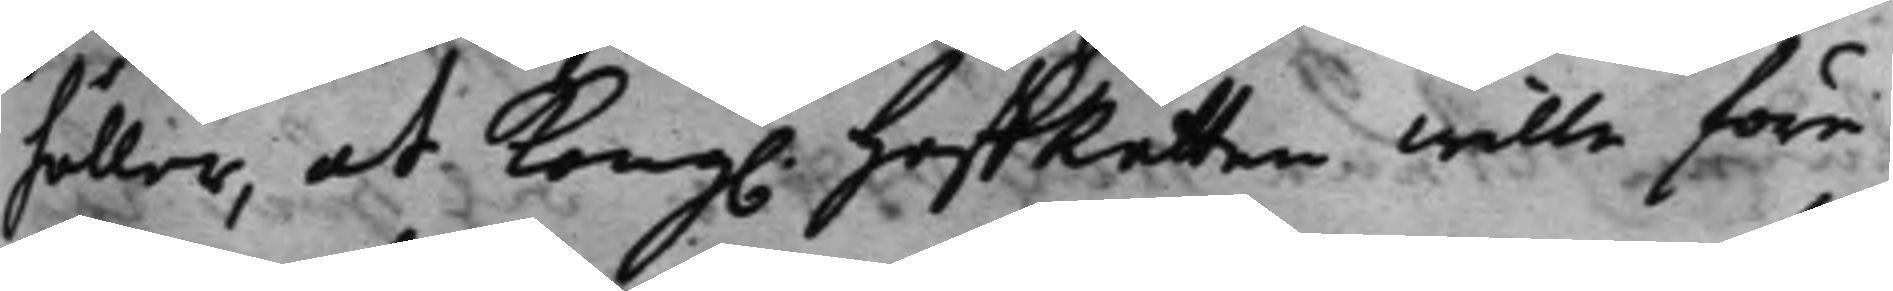håller, at Kong. HofRätten wille före¬
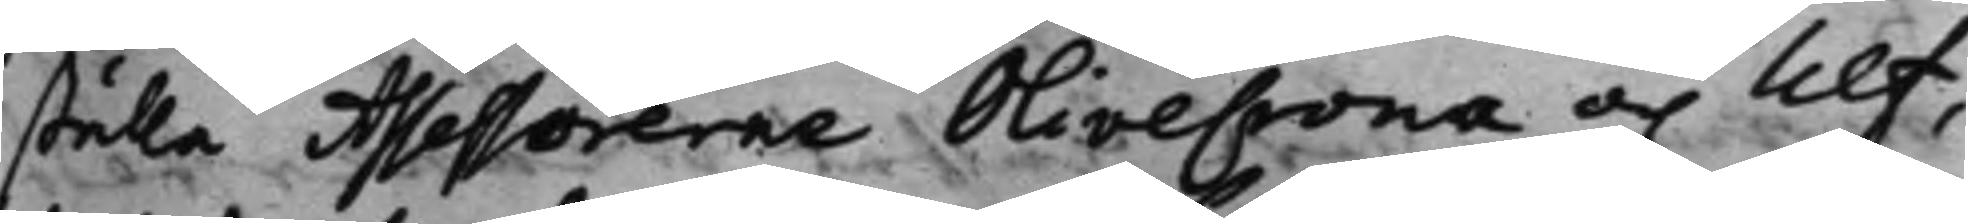ställa Assessorerne OliveCrona och Ulf,
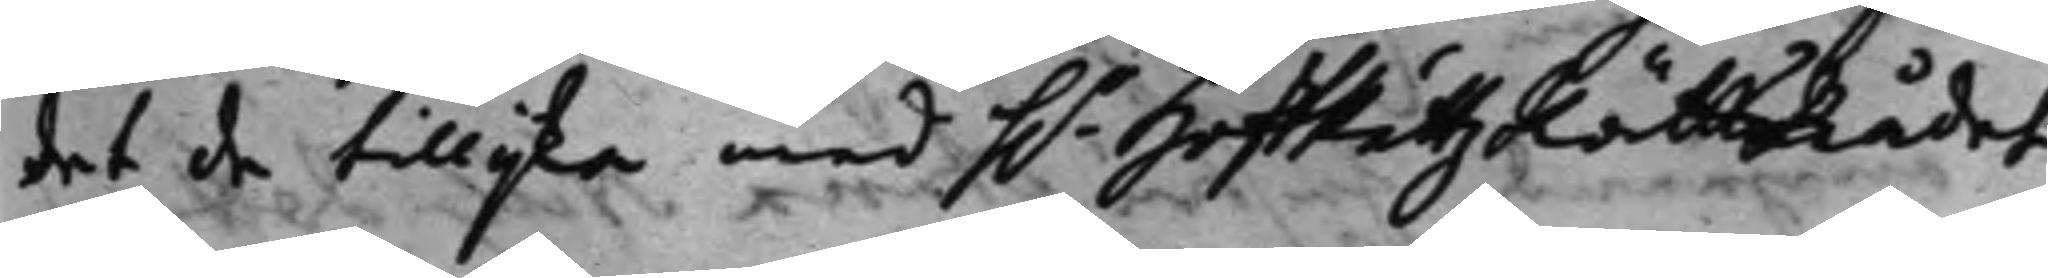det de tillijka med h.r HoffRättz Rätts Rådet
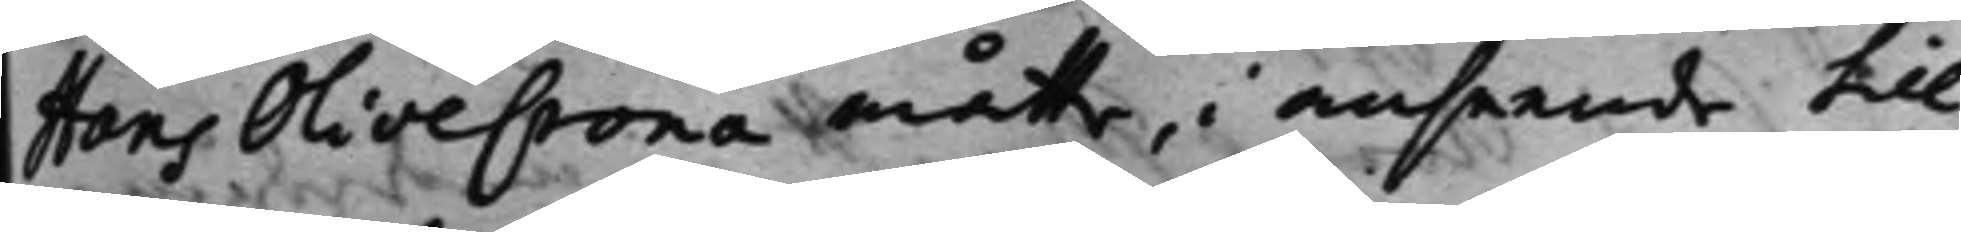Hans Olivecrona måtte, i anseende till
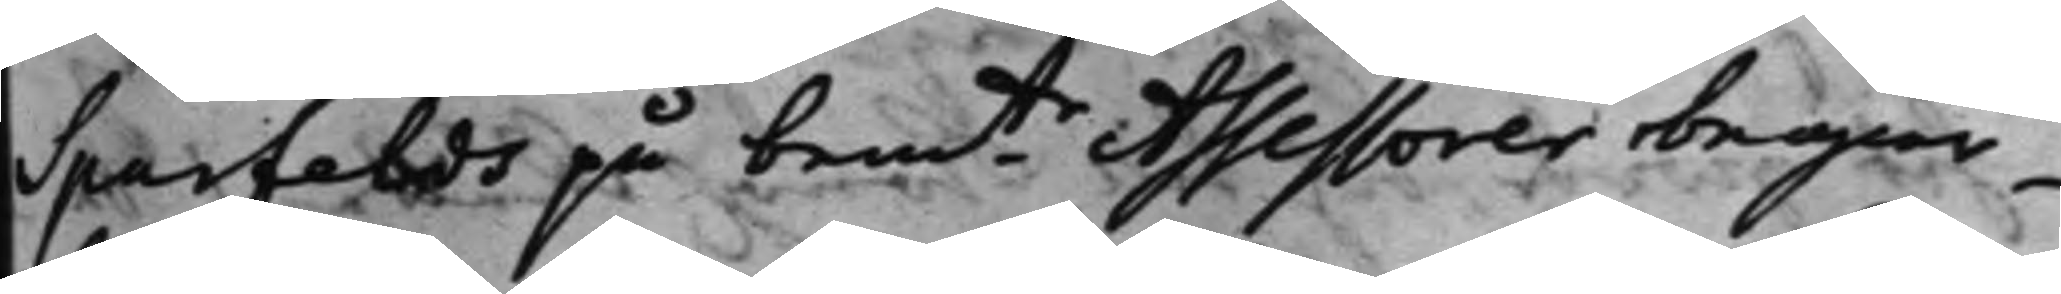Sparfelds på bemte Assessorer begiär¬
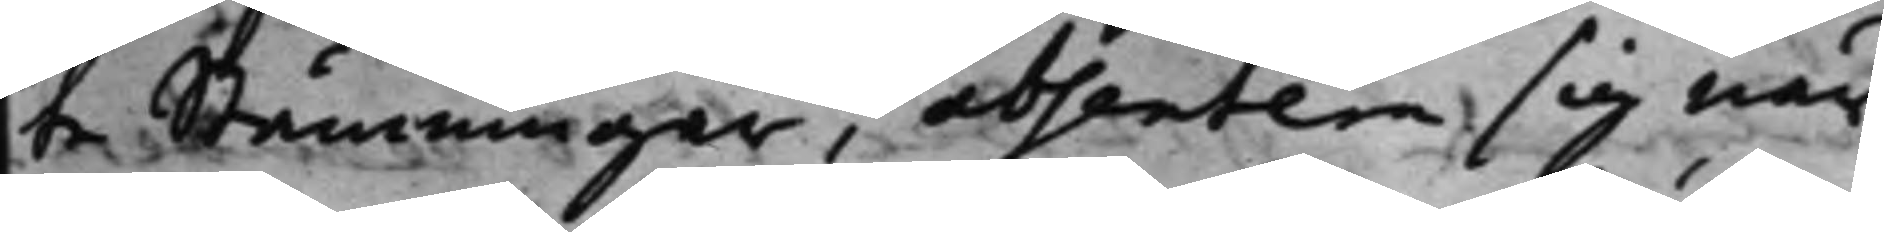te Stämningar, absentera sig, när
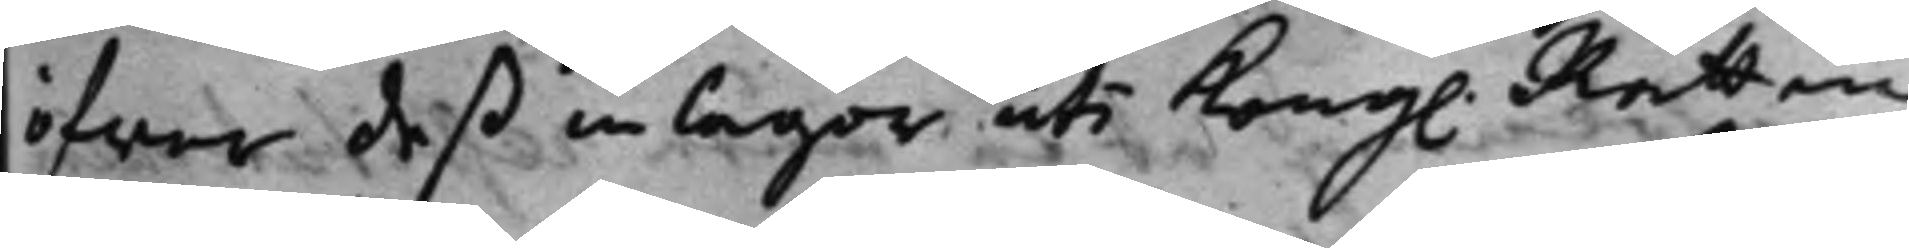öfwer deß inlagor uti Kong. Rätten
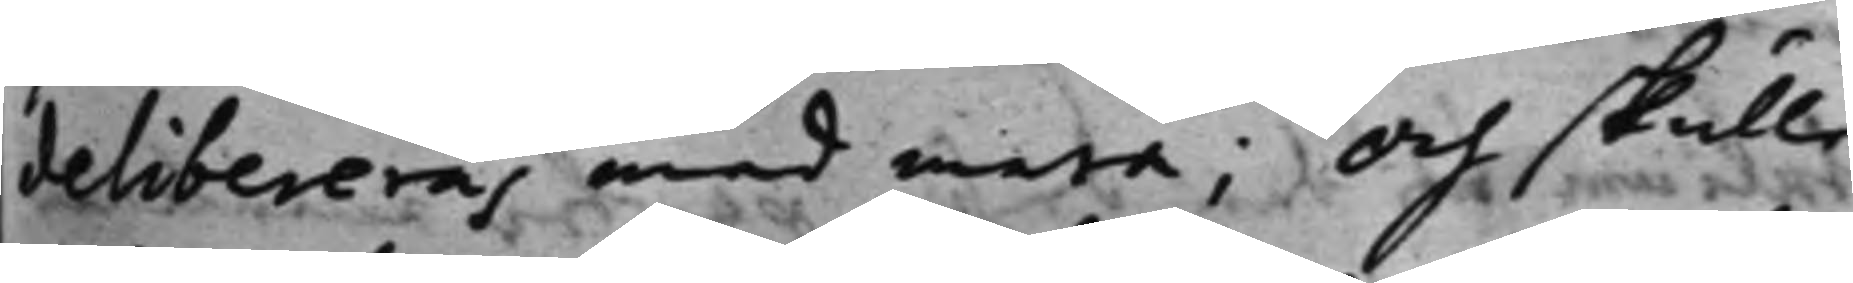delibereras med mera; Och skulle
